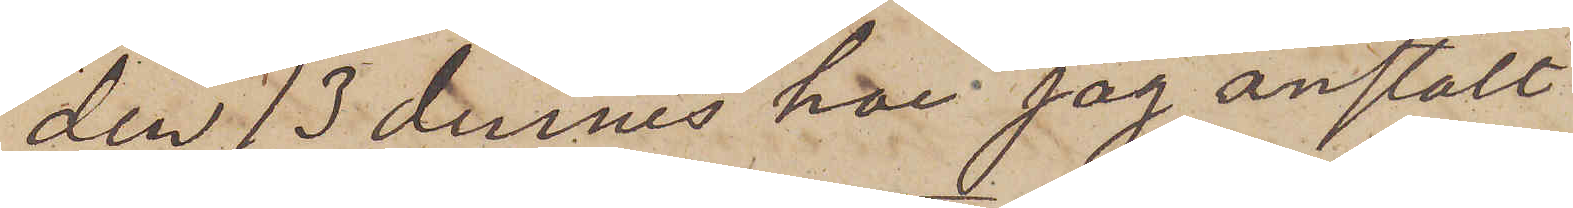den 13 dennes har jag anstält
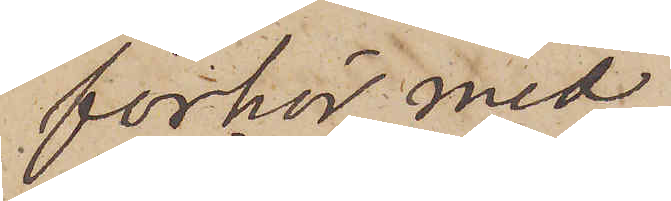förhör med
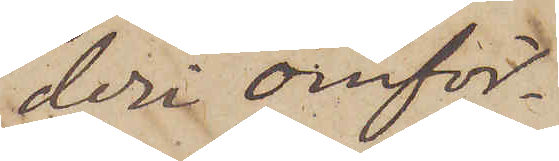deri omför¬
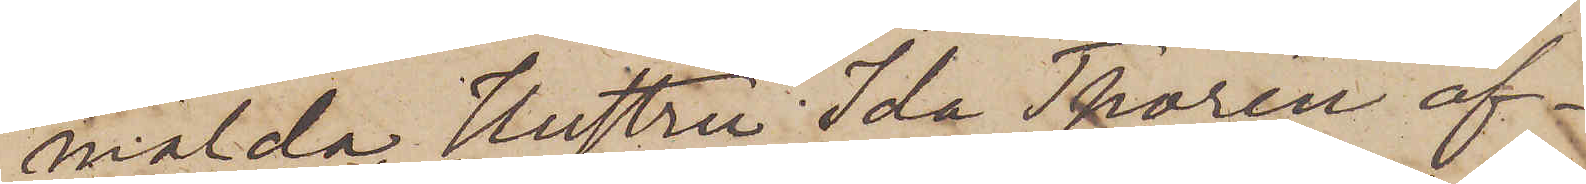mälda Hustru Ida Thorén äf¬
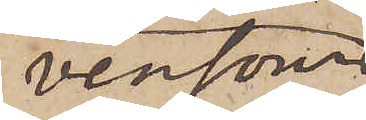vensom
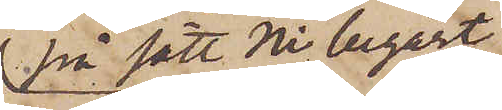på sätt Ni begärt
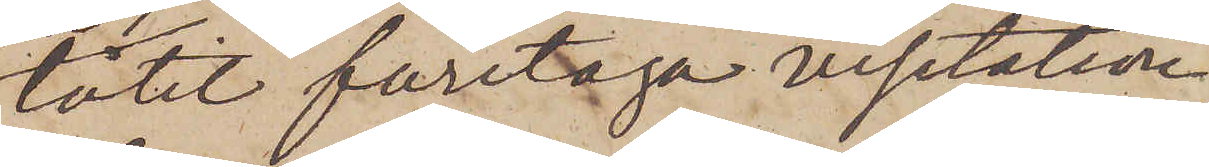låtit företaga visitation
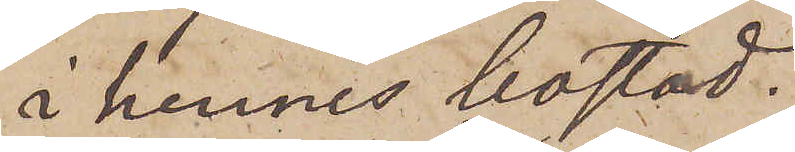i hennes bostad.
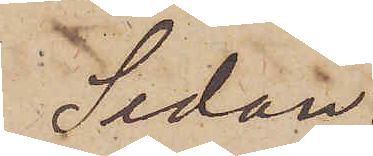Sedan
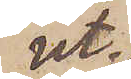ut¬
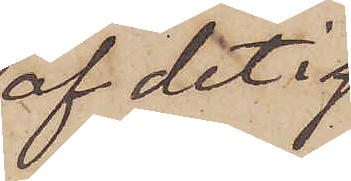af det i
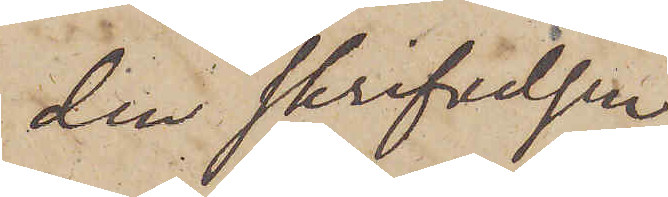den skrifvelsen
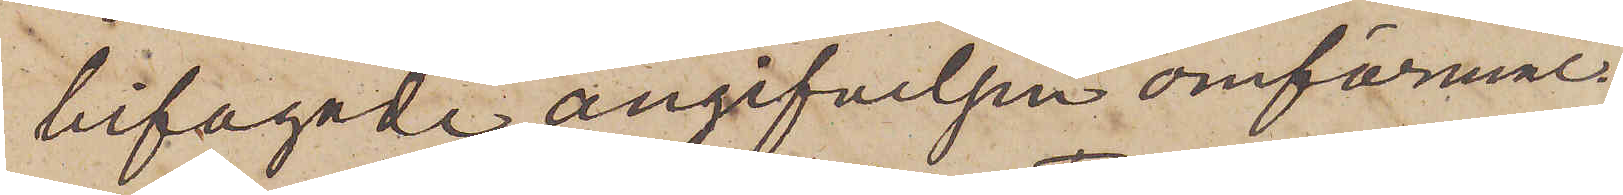bifogade angifvelsen omförmäl¬
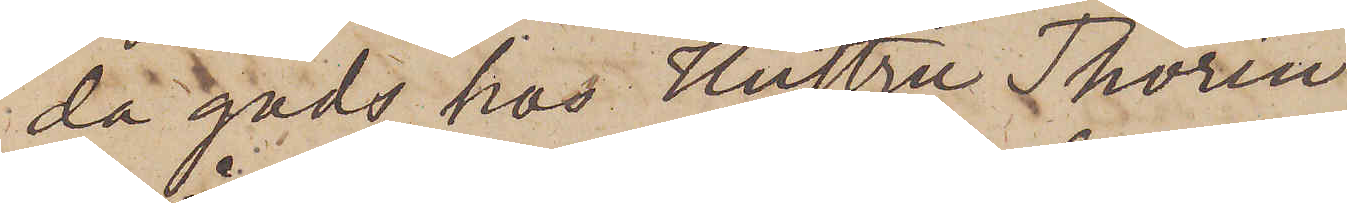da gods hos Hustru Thorén
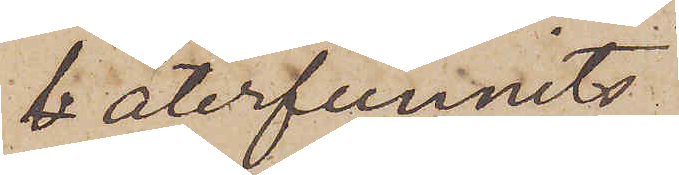återfunnits
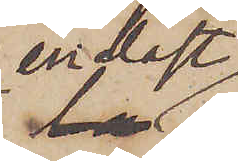endast
